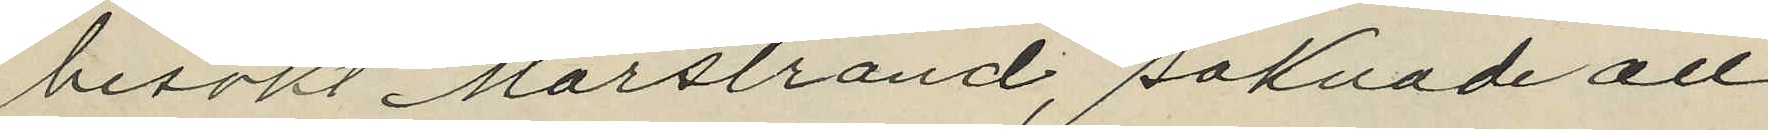besökt Marstrand, saknade all
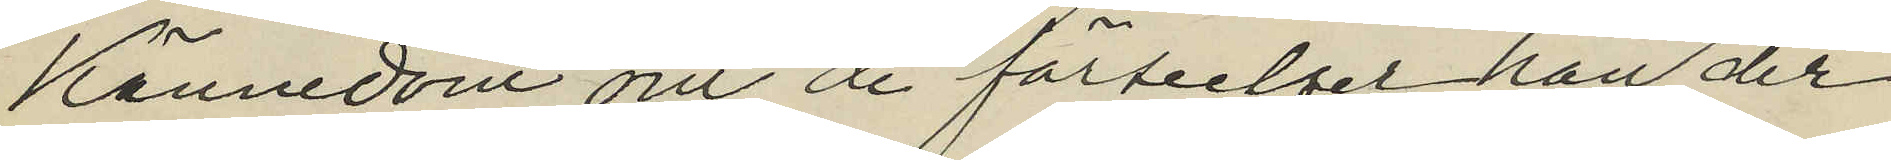kännedom om de förseelser han der
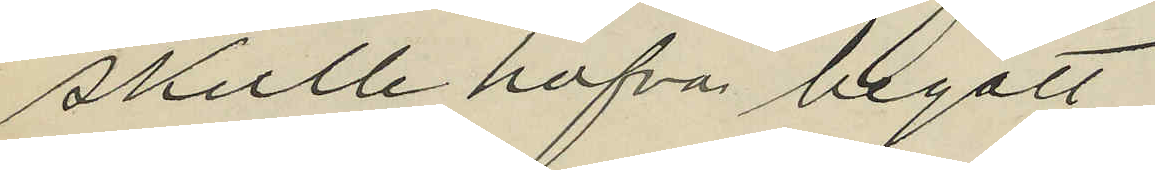skulle hafva begått.
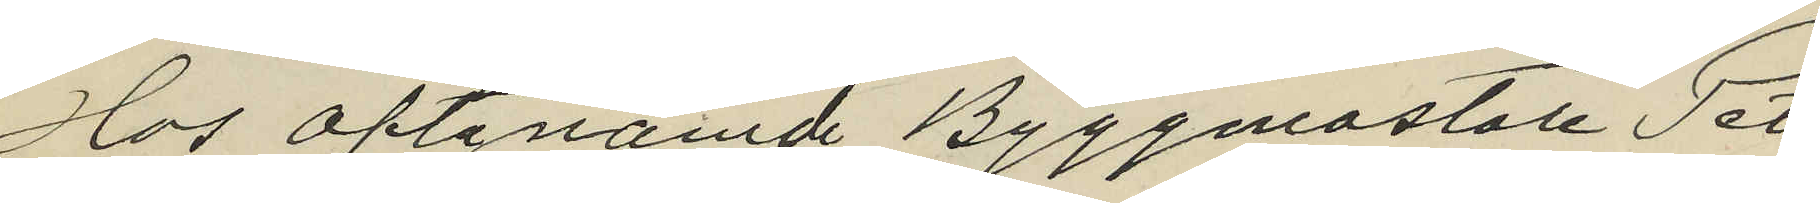Hos oftanämde Byggmästaren Pet¬
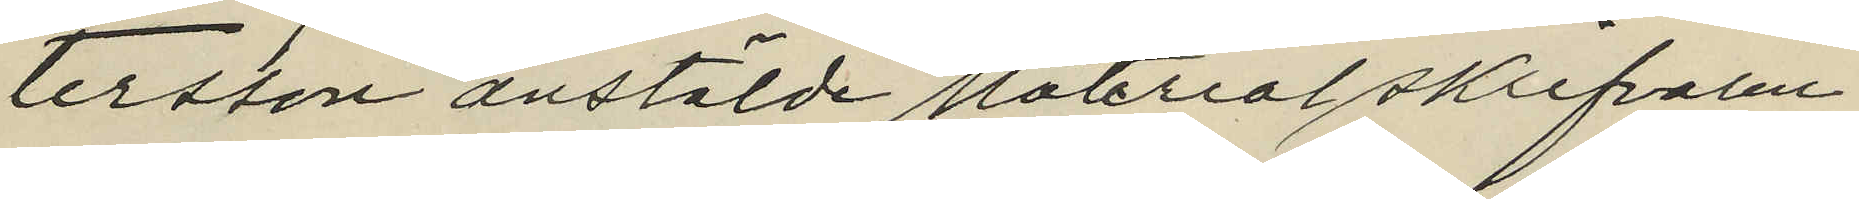tersson anstälde Materialskrifvaren
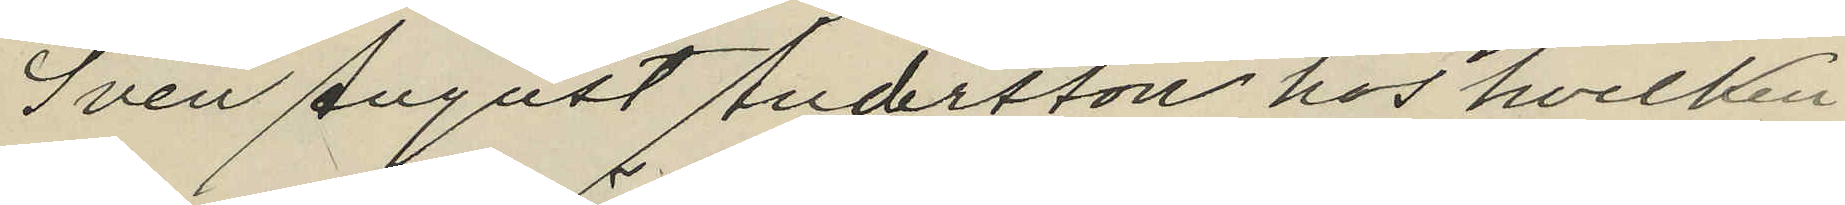Sven August Andersson hos hvilken
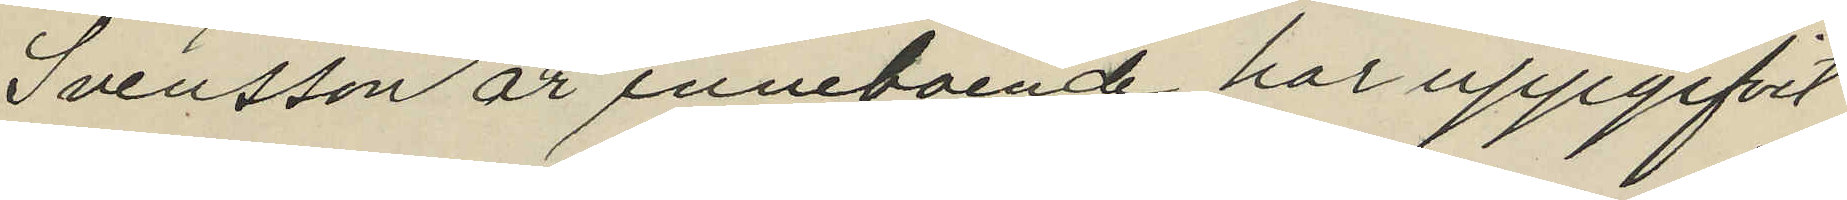Svensson är innboende har uppgifvit
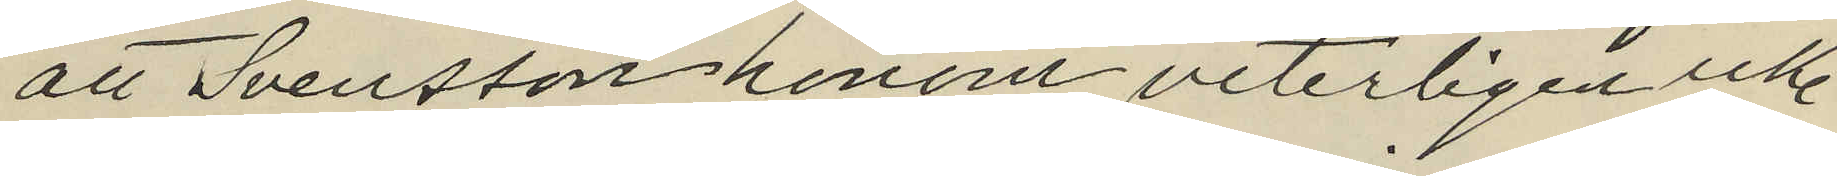att Svensson honom veterligen icke
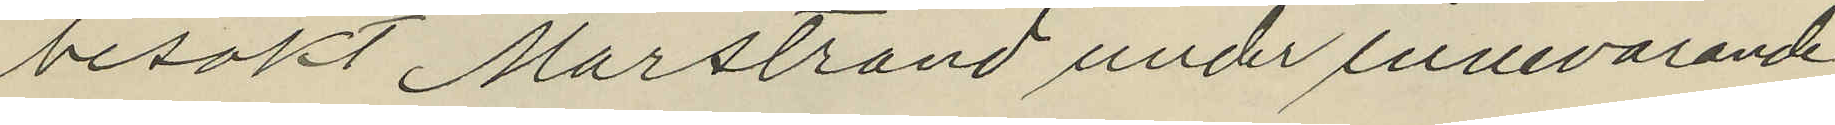besökt Marstrand under innevarande
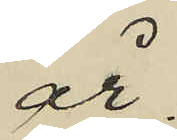år.
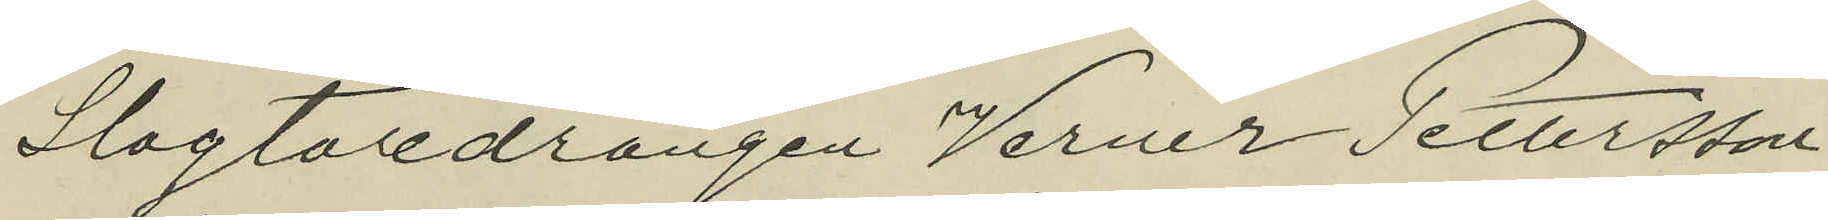Slagtaredrängen Verner Pettersson
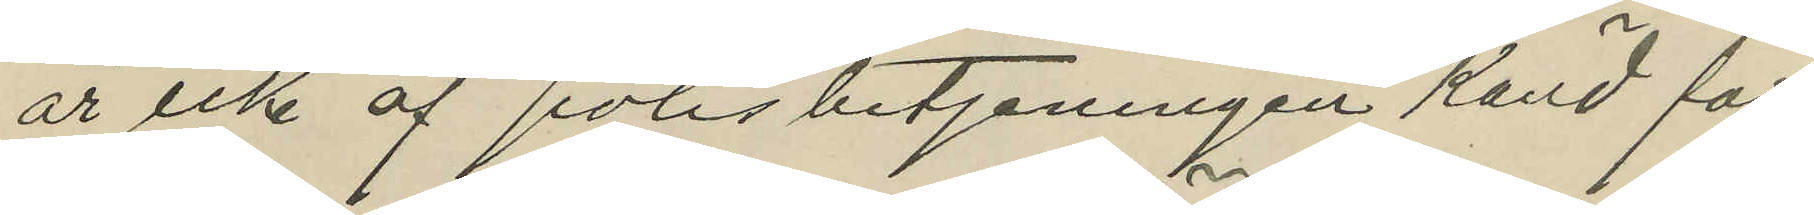är icke af polisbetjeningen känd för
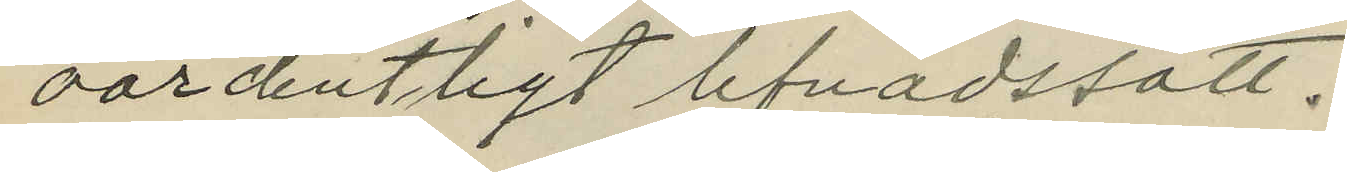oordentligt lefnadssätt.
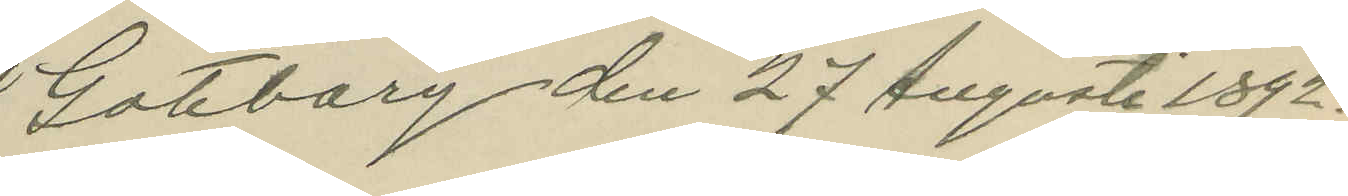Göteborg den 27 Augusti 1892.
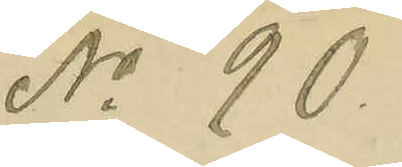No 90.
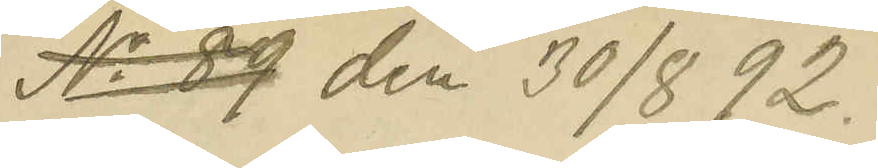No 89 den 30/8 92.
